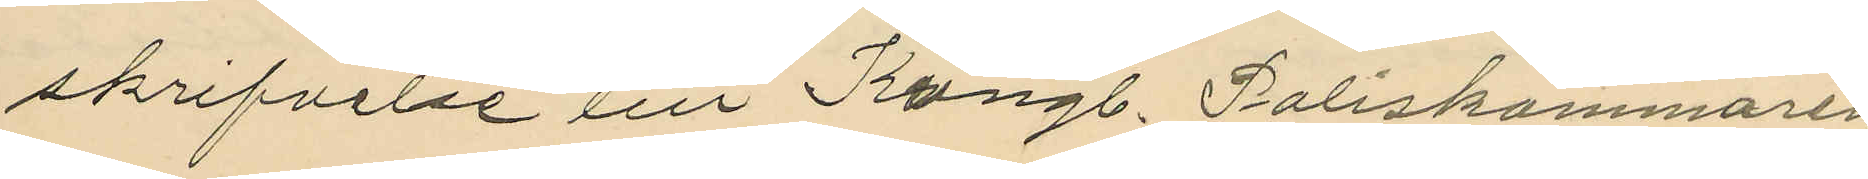skrifvelse till Kungl. Poliskammaren
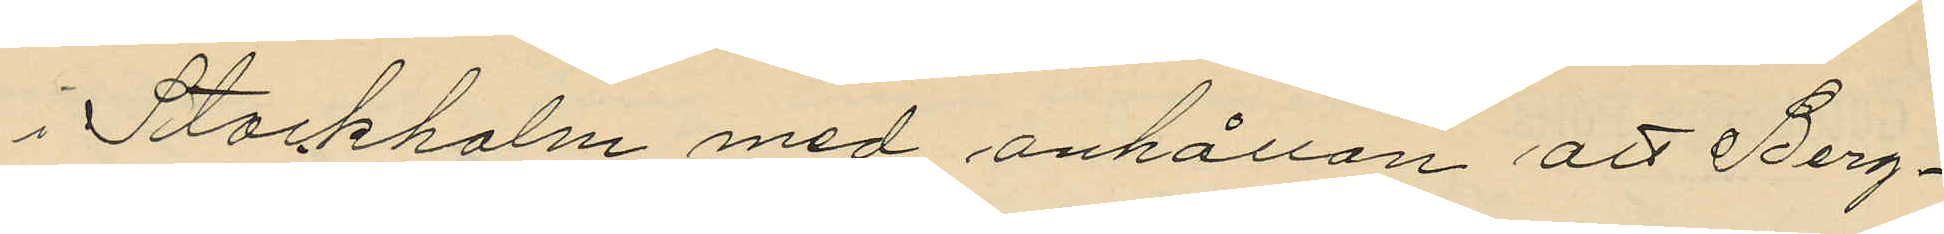i Stockholm med anhållan att Berg¬
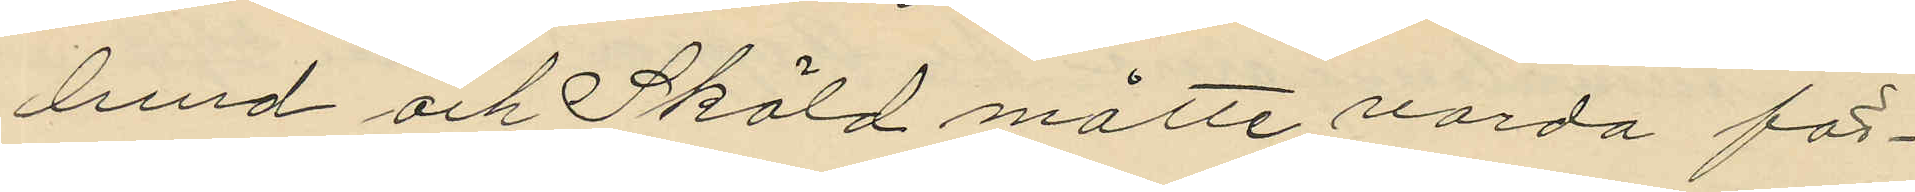lund och Sköld måtte varda för¬
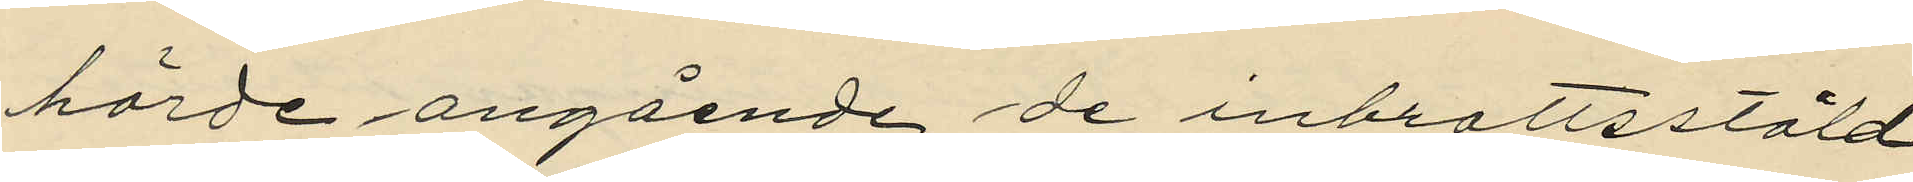hörde angående de inbrottsstöld¬
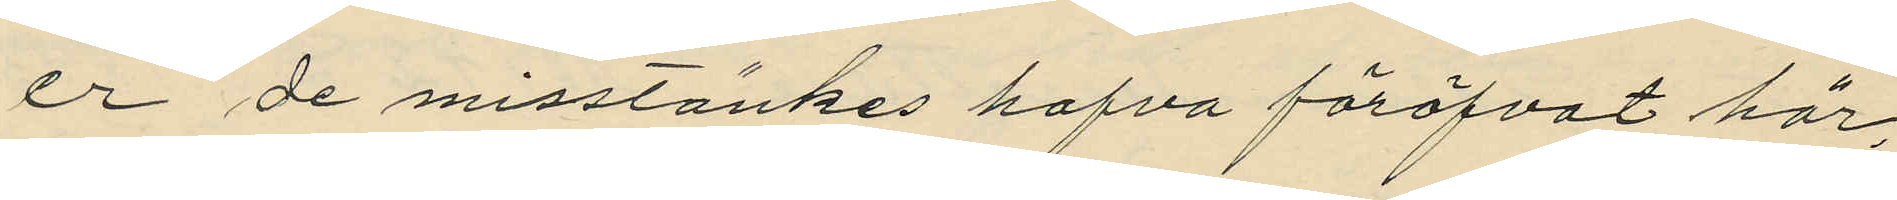er de misstänkes hafva föröfvat här,
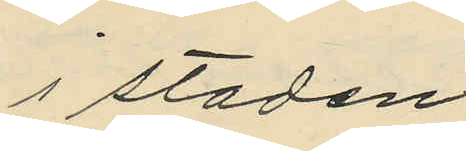i staden.
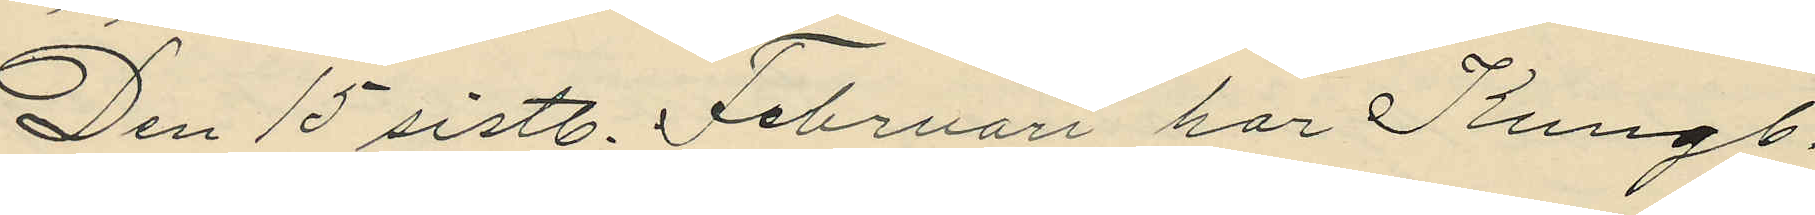Den 15 sistl. Februari har Kungl.
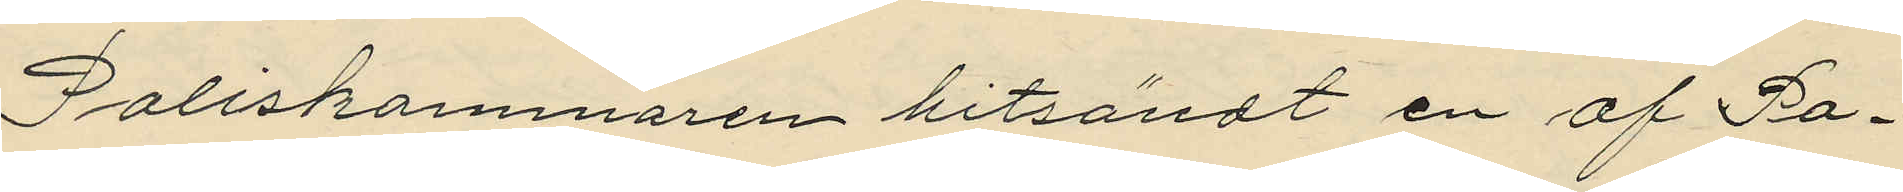Poliskammaren hitsändt en af Po¬
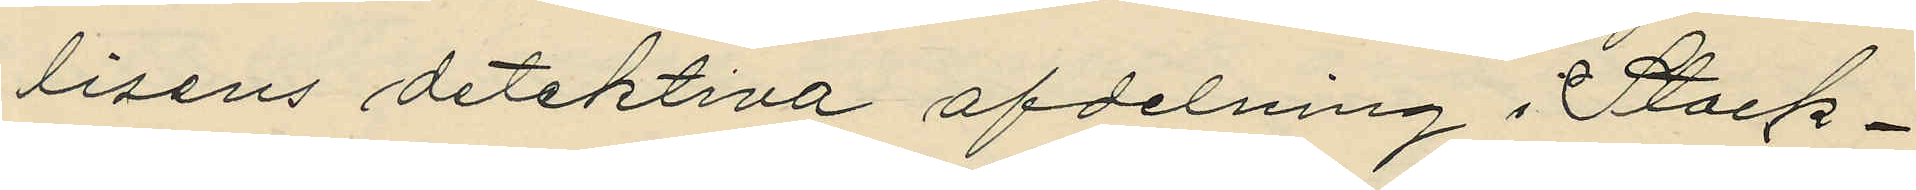lisens detektiva afdelning i Stock¬
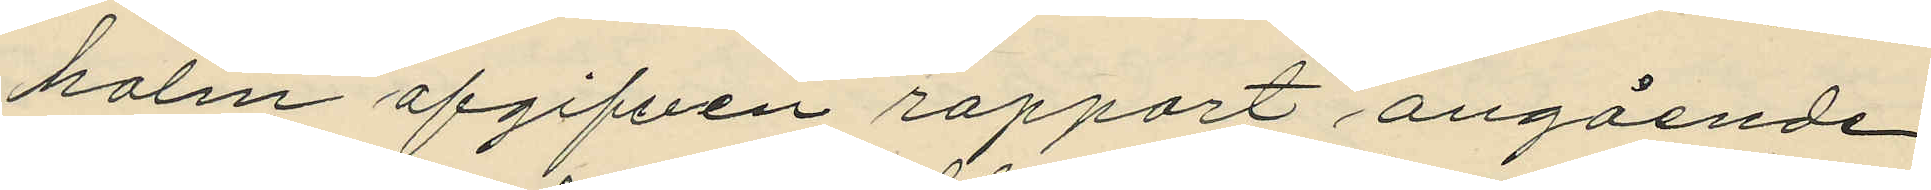holm afgifven rapport angående
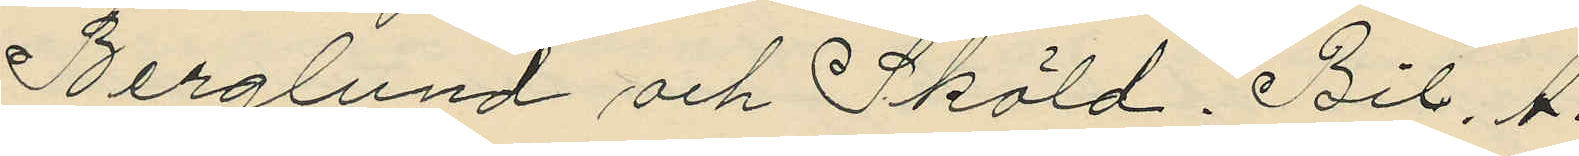Berglund och Sköld. Bil. A
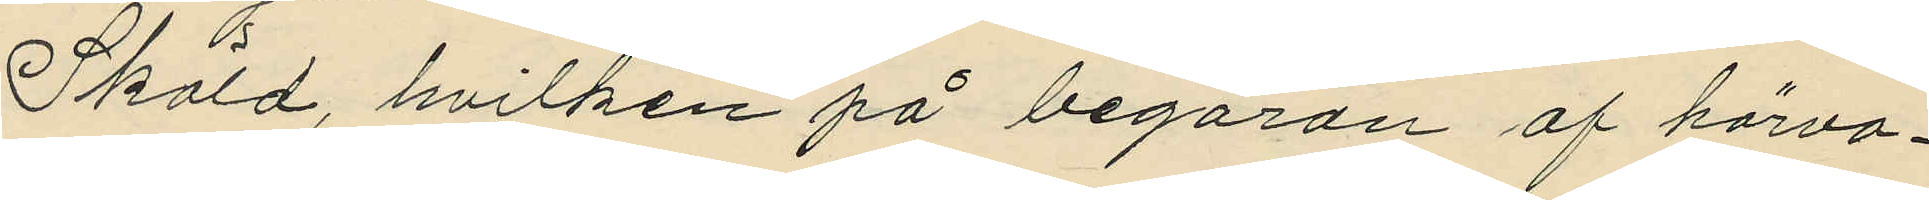Sköld, hvilken på begäran af härva¬
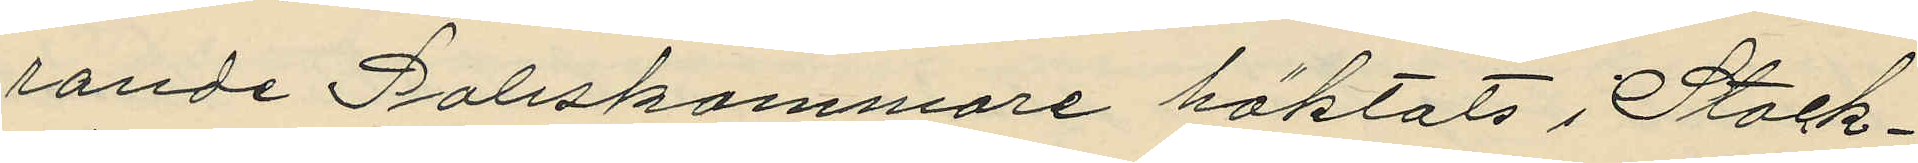rande Poliskammare häktats i Stock¬
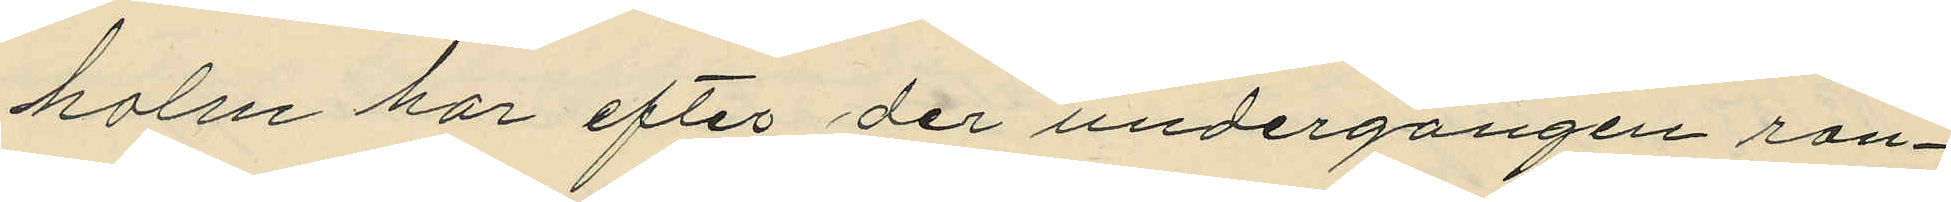holm har efter der undergången ran¬
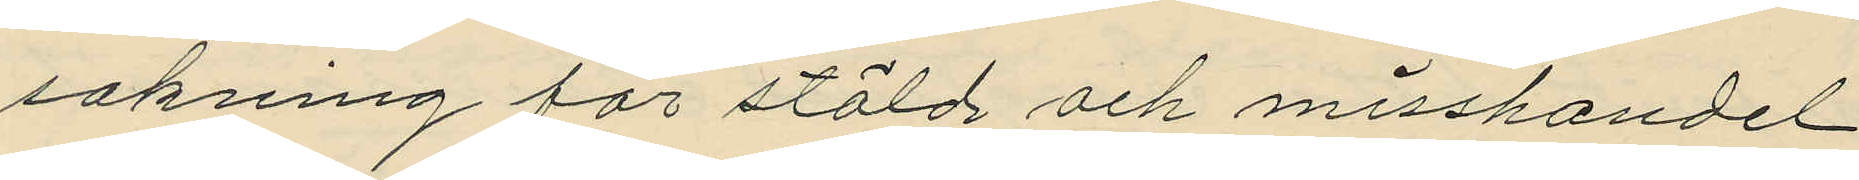sakning för stöld och misshandel
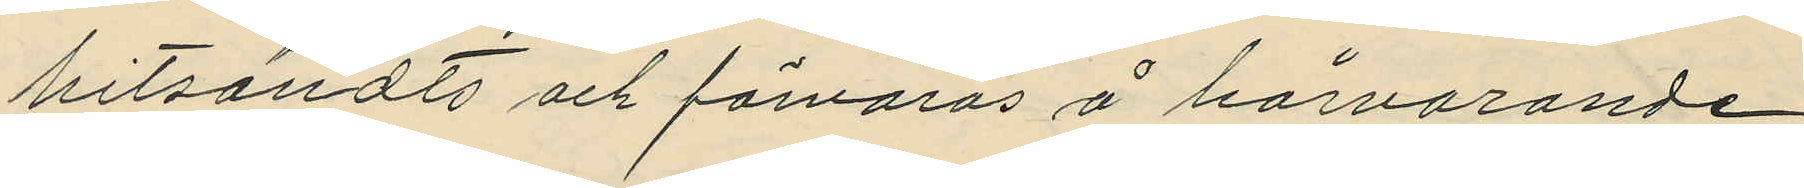hitsändts och förvaras å härvarande
